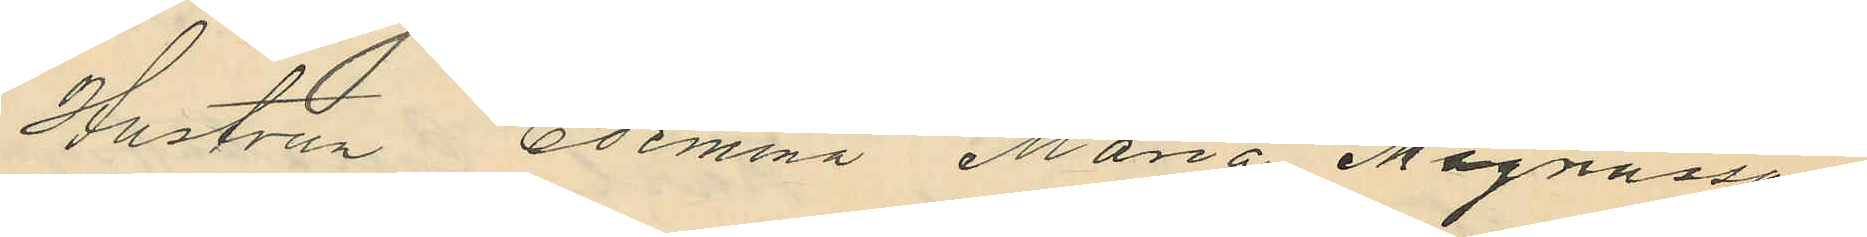Hustrun Edemina Maria Magnusson
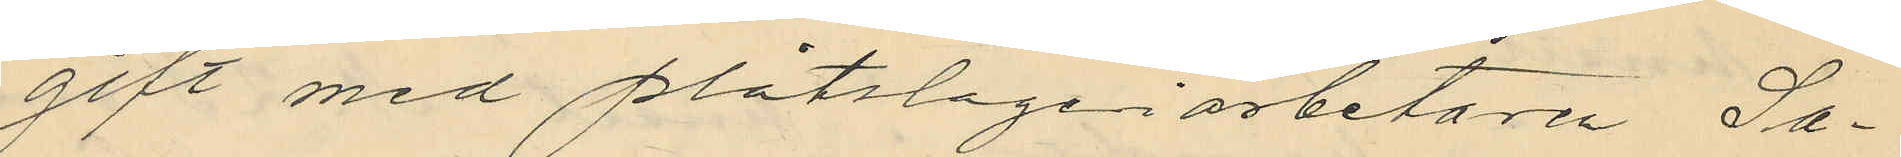gift med plåtslageriarbetaren Sa¬
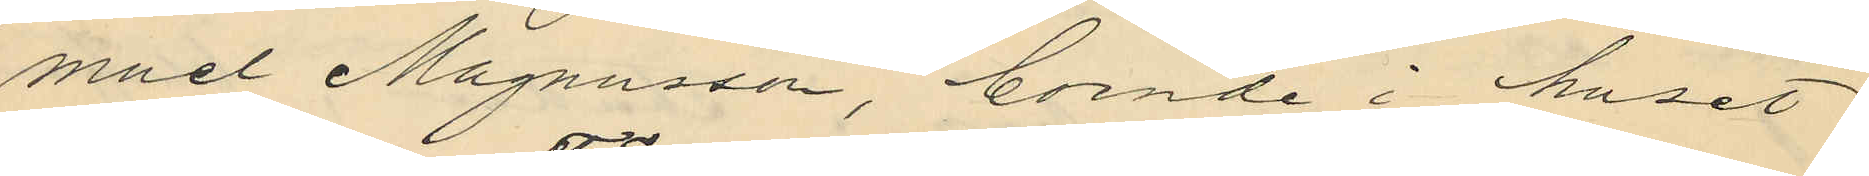muel Magnusson, boende i huset
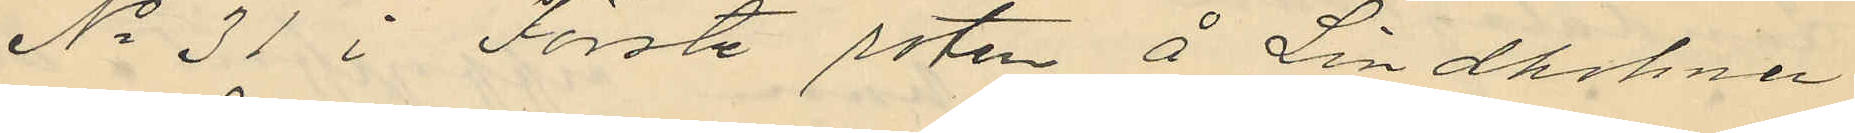No 31 i Förste roten å Lindholmen
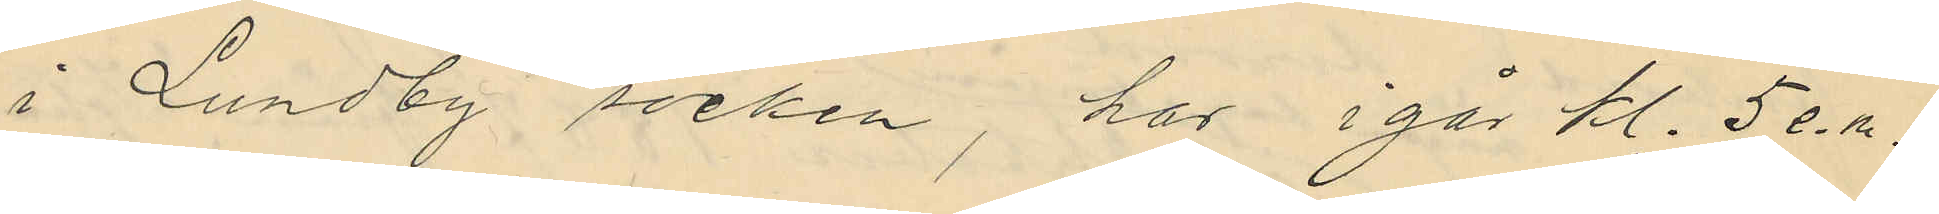i Lundby socken, har i går kl. 5 e.m.
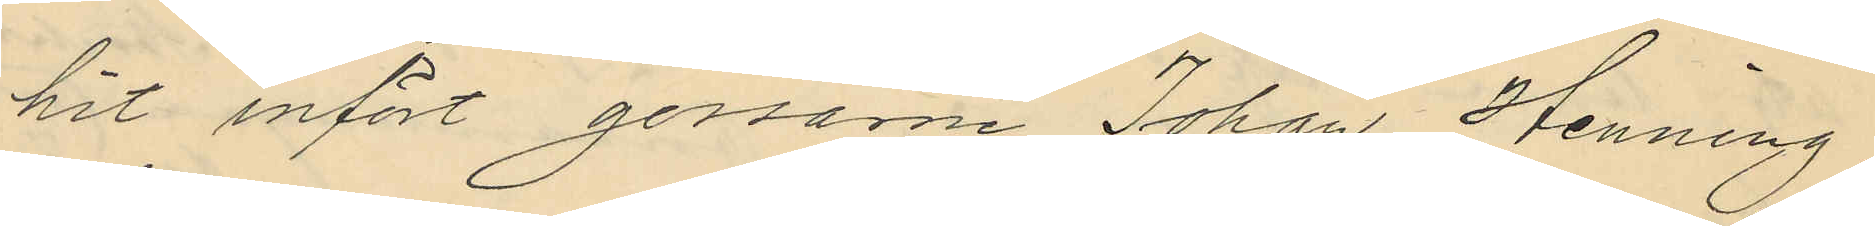hit infört gossarne Johan Henning
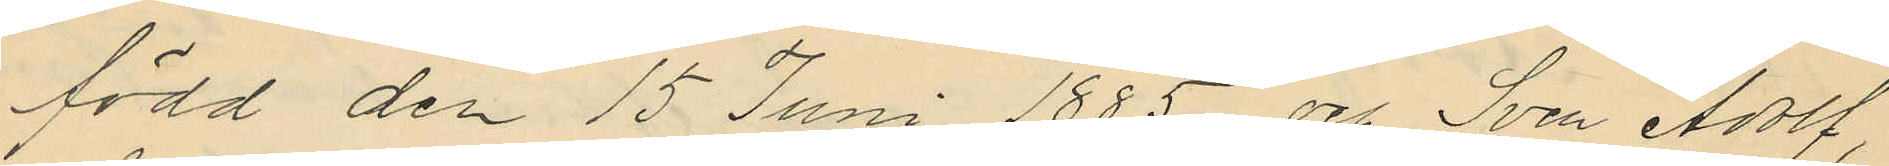född den 15 Juni 1885 och Sven Adolf,
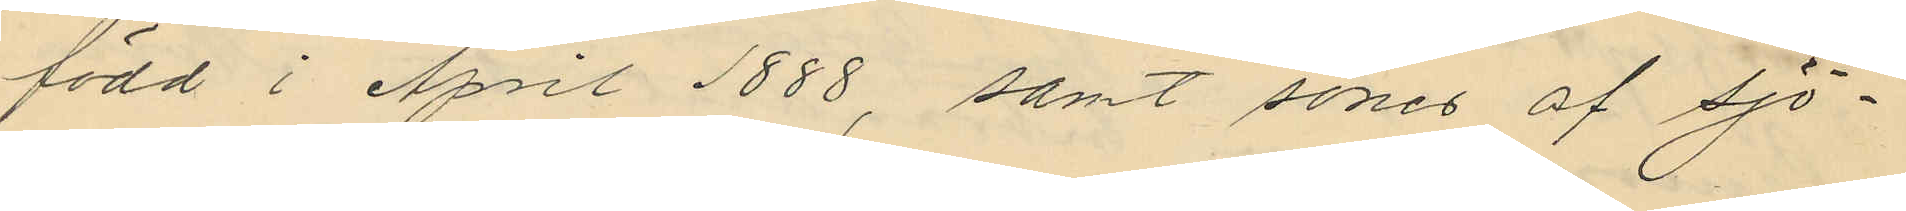född i Aril 1888, samt söner af Sjö¬
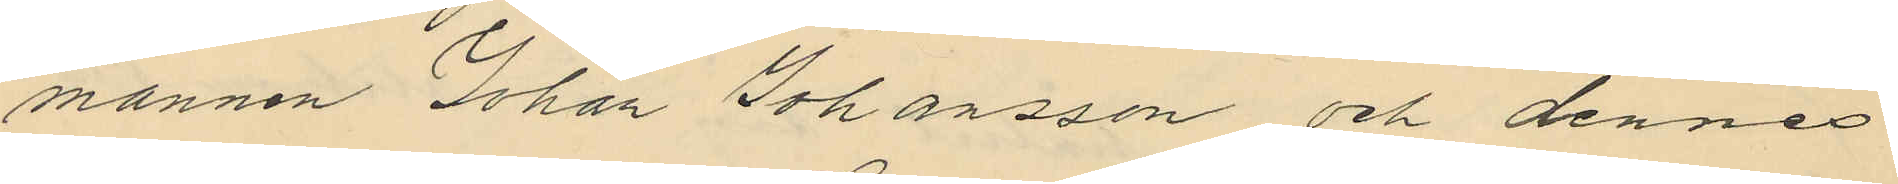mannen Johan Johansson och dennes
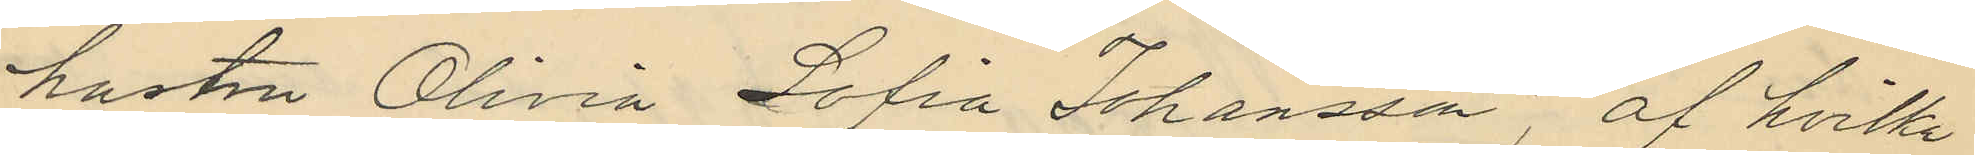hustru Olivia Sofia Johansson, af hvilka
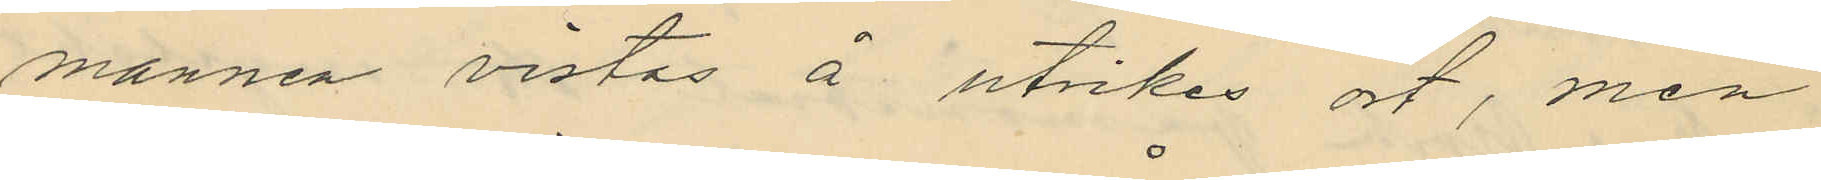mannen vistas å utrikes ort, men
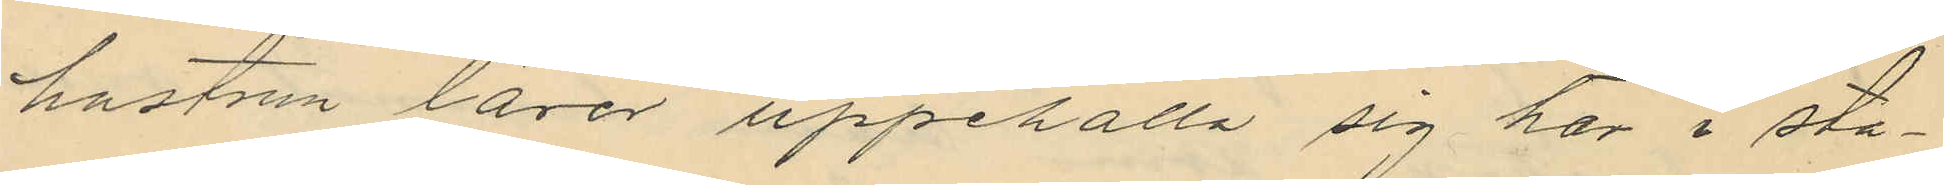hustrun lärer uppehålla sig här i sta¬
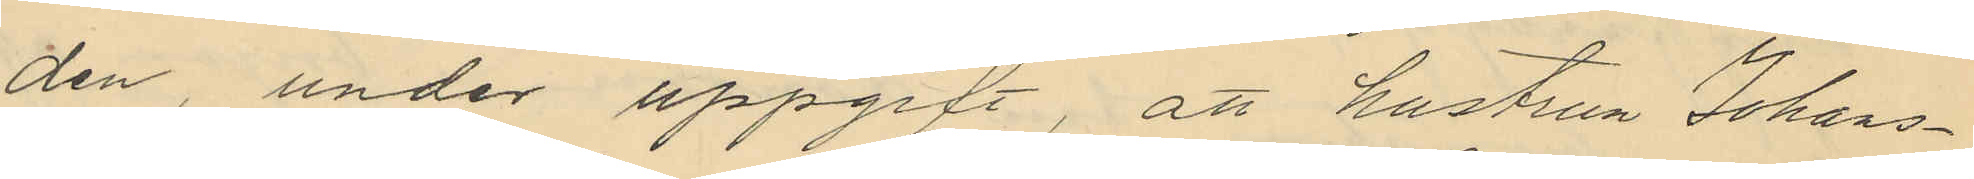den, under uppgift, att hustrun Johans¬
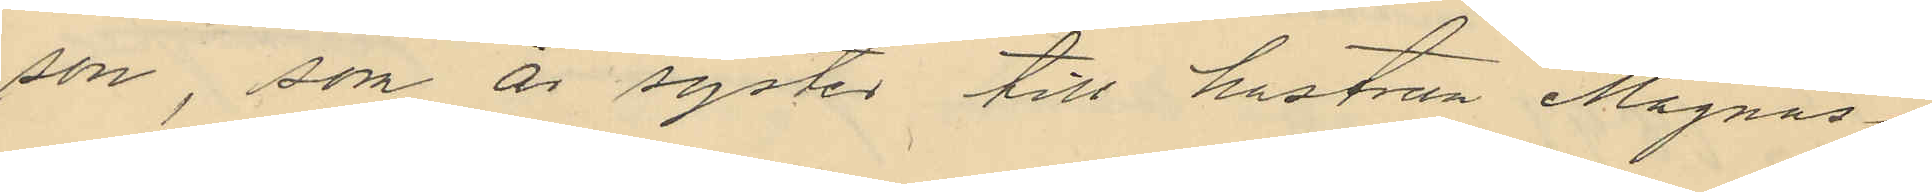son, som är syster till hustrun Magnus¬
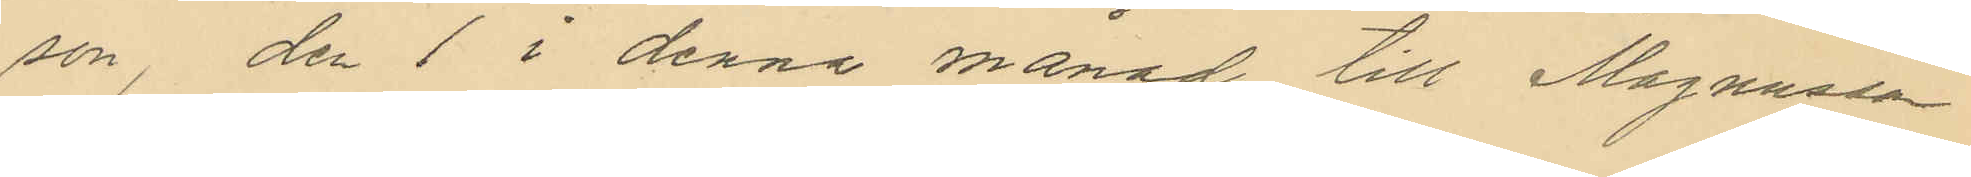son, den 1 i denna månad till Magnusson
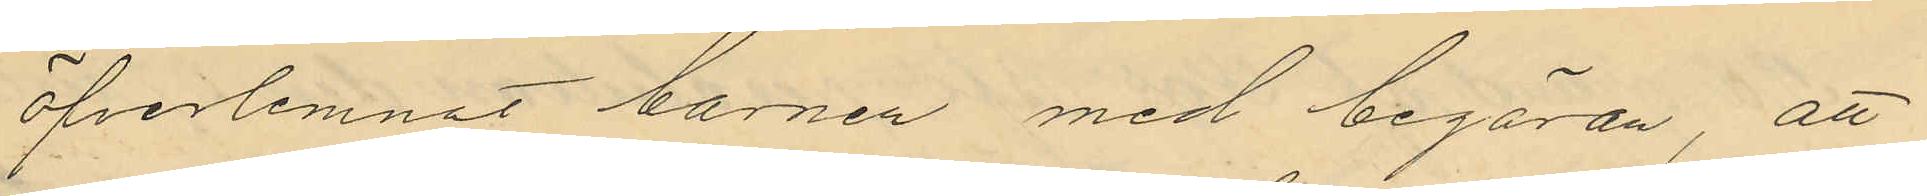öfverlemnat barnen med begäran, att
